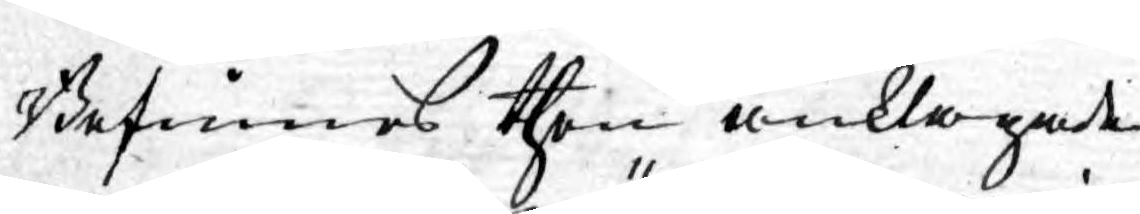Befinnes then anklagade
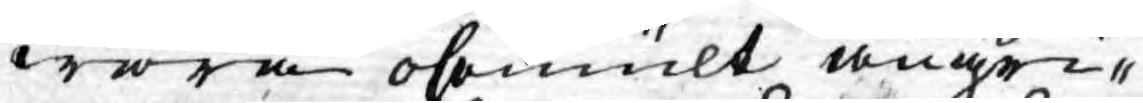wara ohemult angri¬
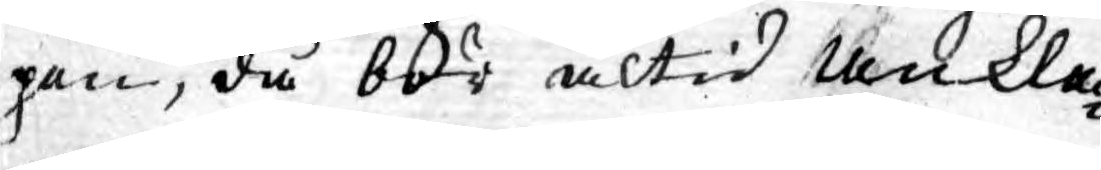pen, då bör altid Ankla¬
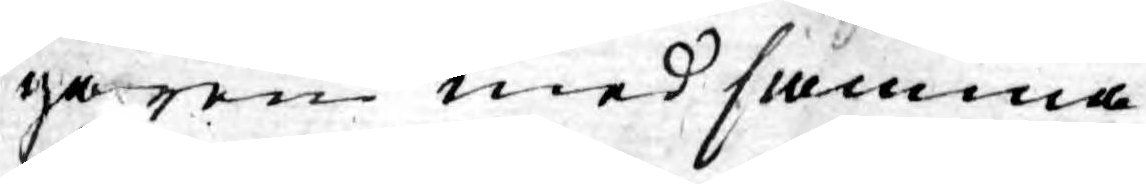garen med samma
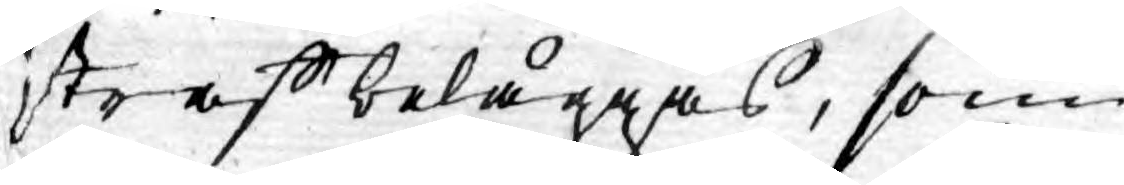straff beläggas, som
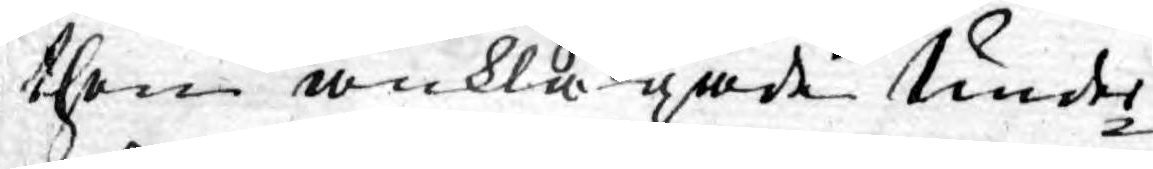then anklagade Under¬
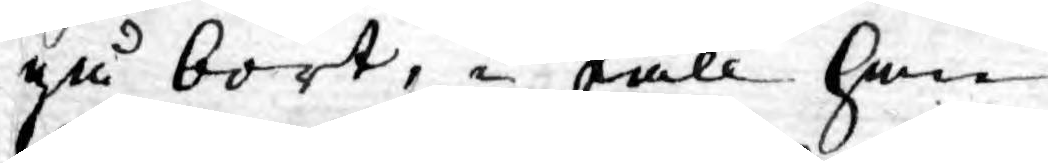gå bort, i fall han
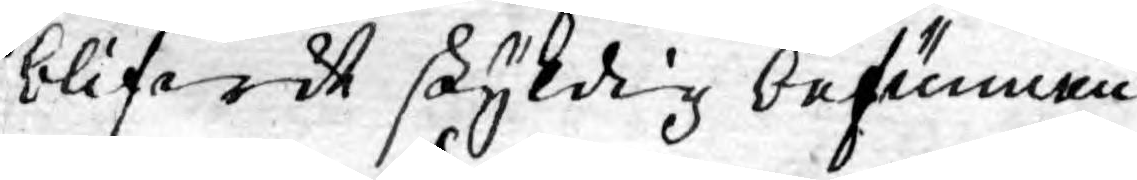blifwit skyldig befunnen.
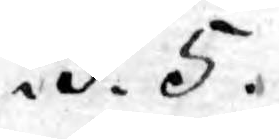.§. 5.
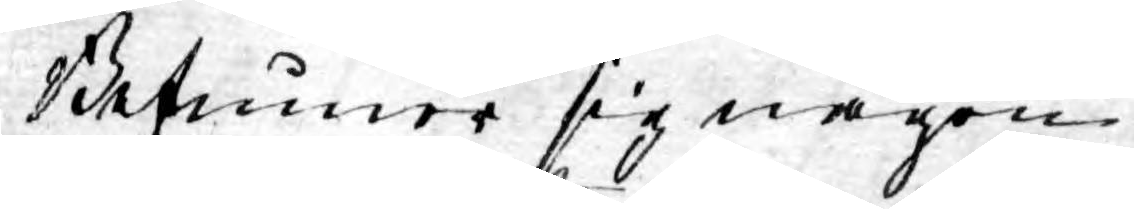Befinner sig någon
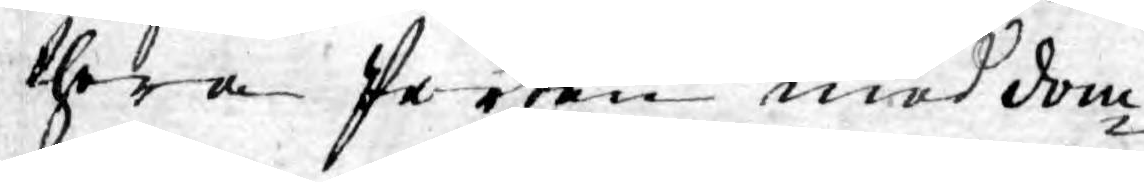thera Parten med dom¬
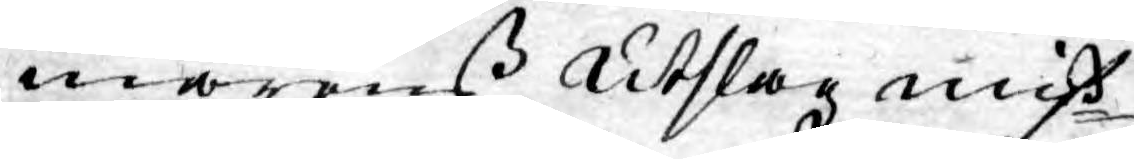marens Utslag miß¬
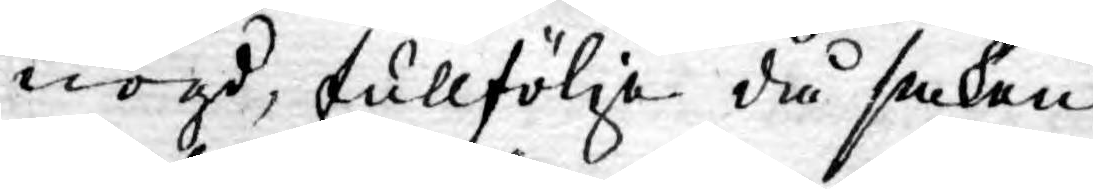nögd, fullfölja då saken
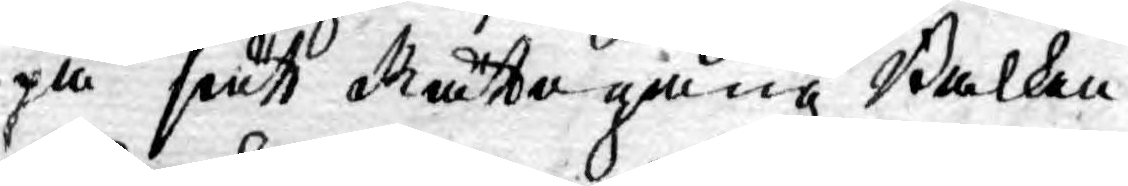på sätt Rättegångz Balken
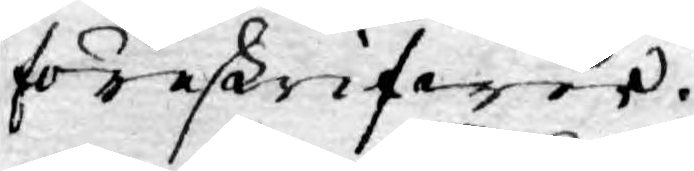föreskrifwer.
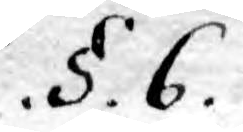.§. 6.
